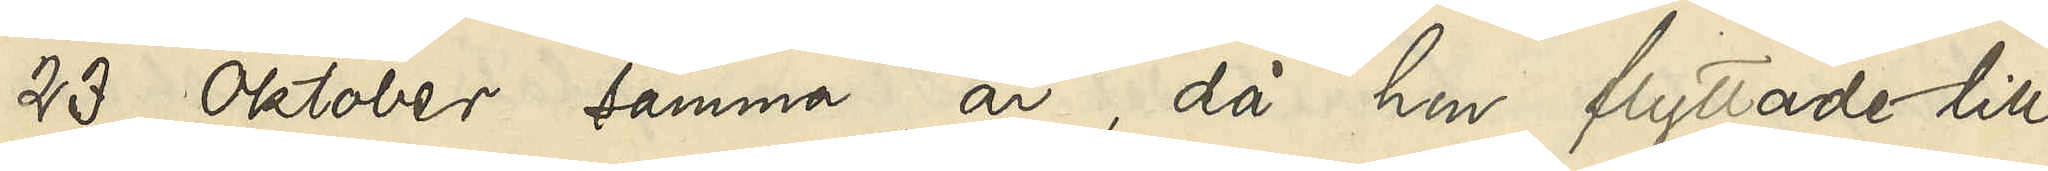23 Oktober samma år, då hon flyttade till
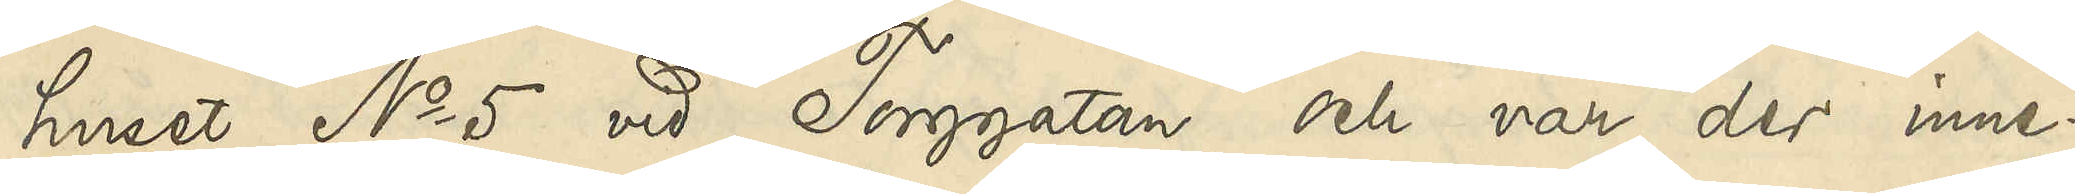huset No 5 vid Torggatan och var der inne¬
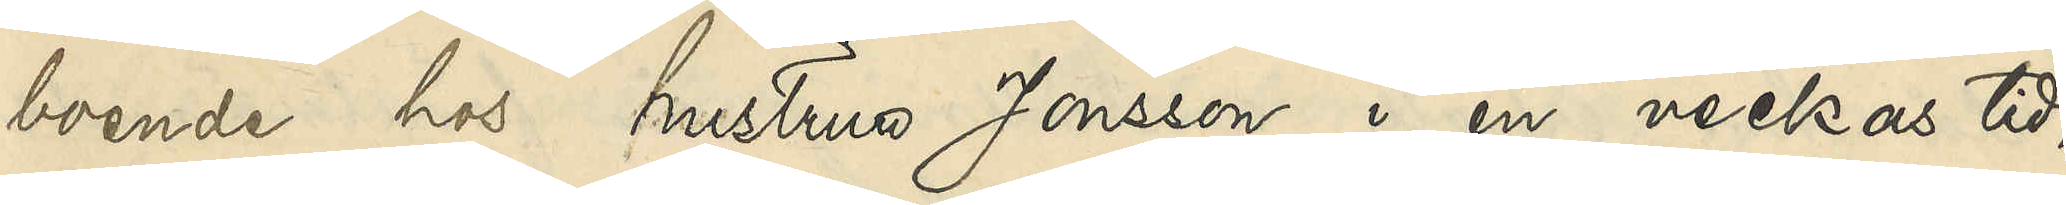boende hos hustrun Jonsson i en veckas tid,
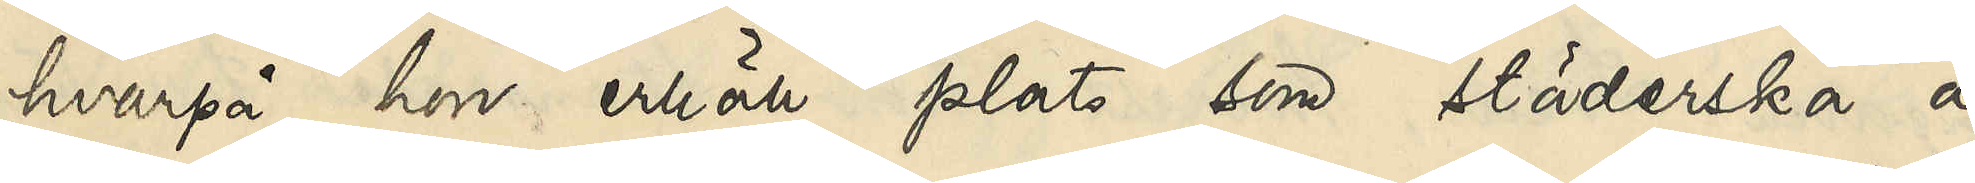hvarpå hon erhöll plats som städerska å
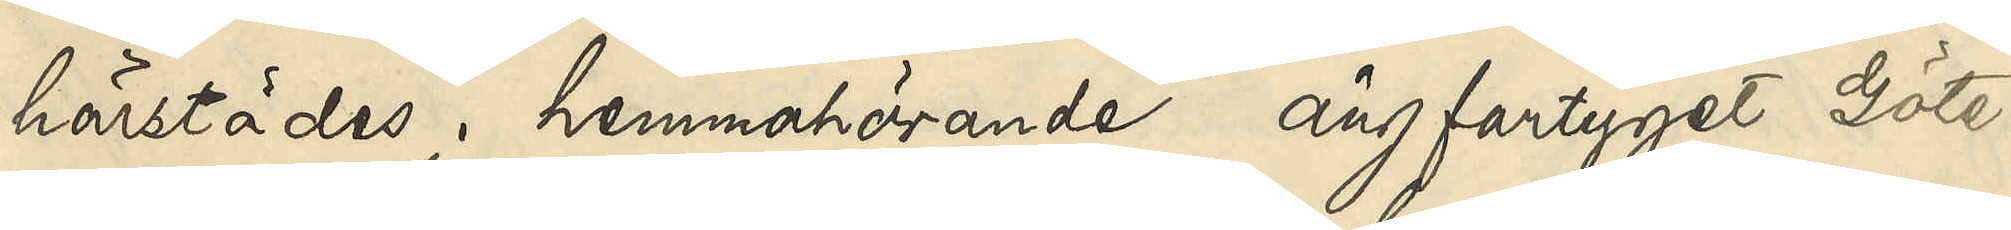härstädes hemmahörande ångfartyget Göte¬
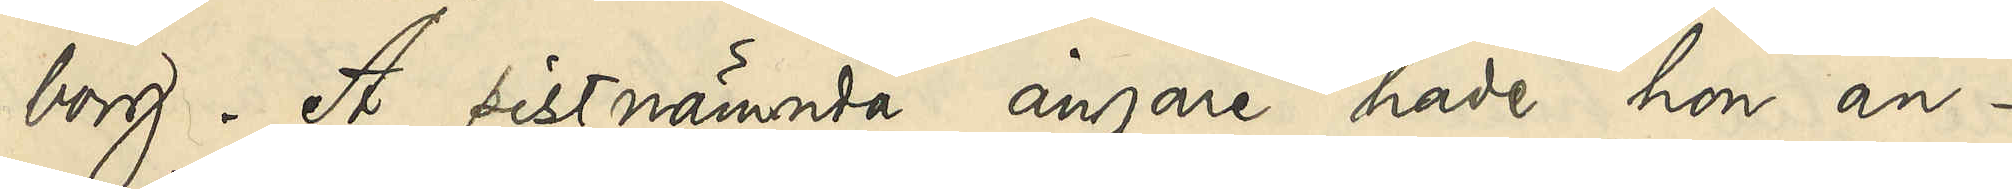borg. Å sistnämnda ångare hade hon an¬
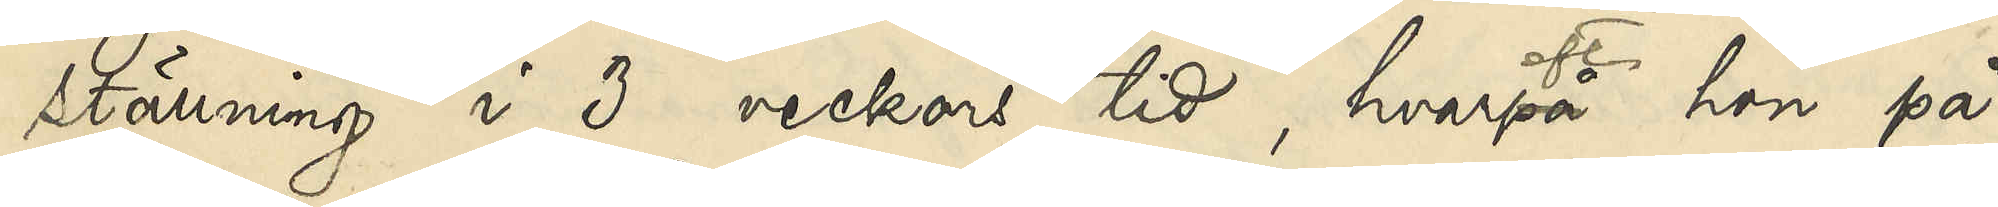ställning i 3 veckors tid, hvarefter hon på
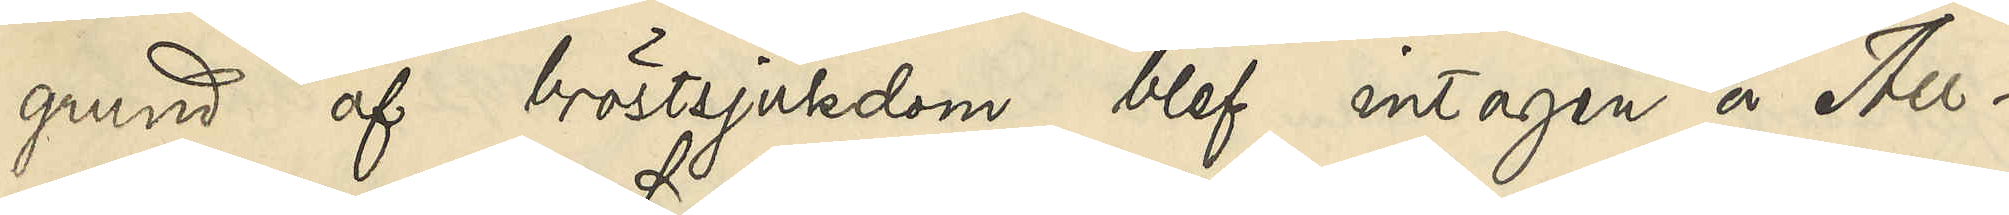grund af bröstsjukdom blef intagen å All¬
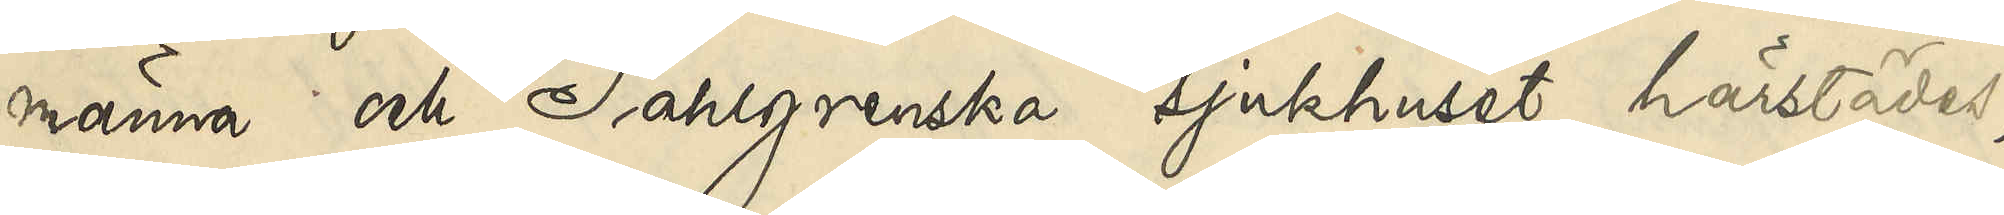männa och Sahlgrenska sjukhuset härstädes,
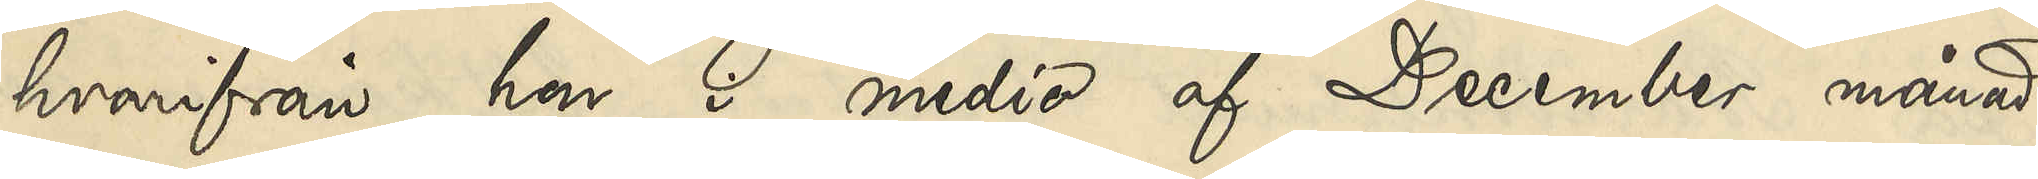hvarifrån hon i medio af December månad
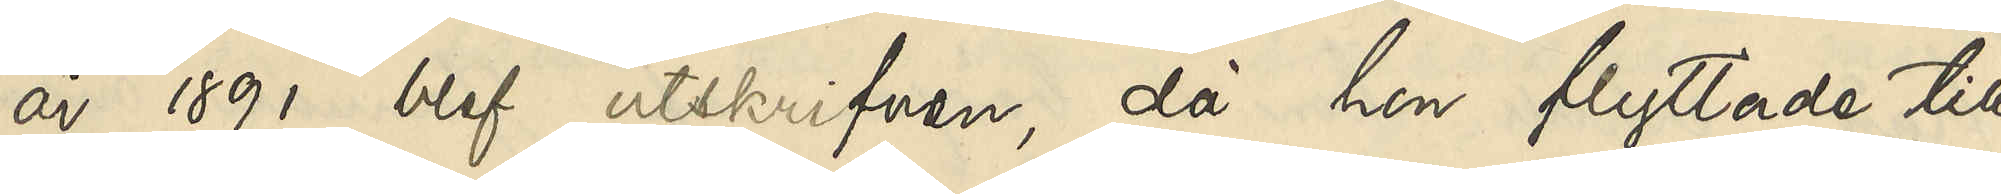år 1891 blef utskrifven, då hon flyttade till
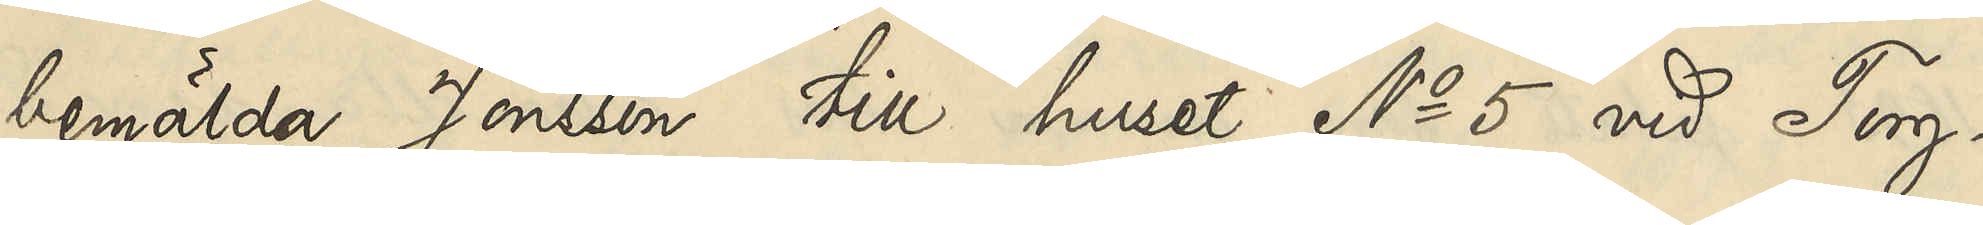bemälda Jonsson till huset No 5 vid Torg¬
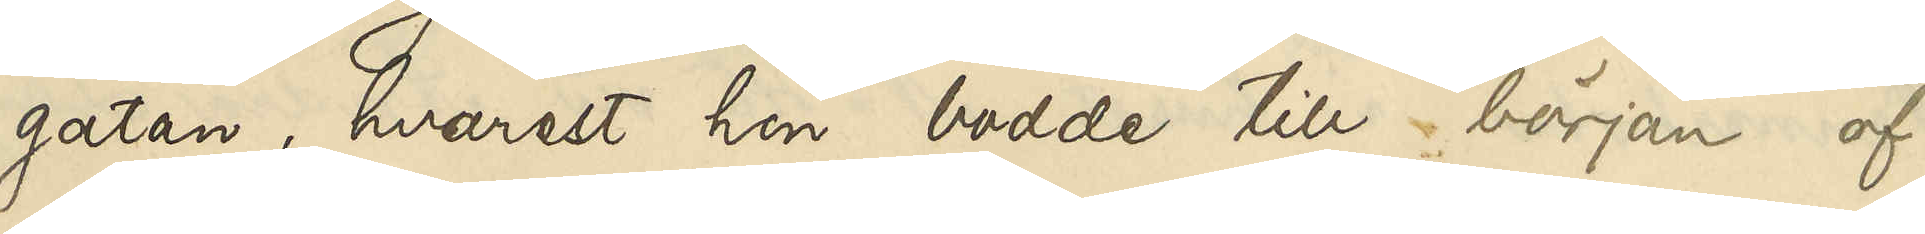gatan, hvarest hon bodde till början af
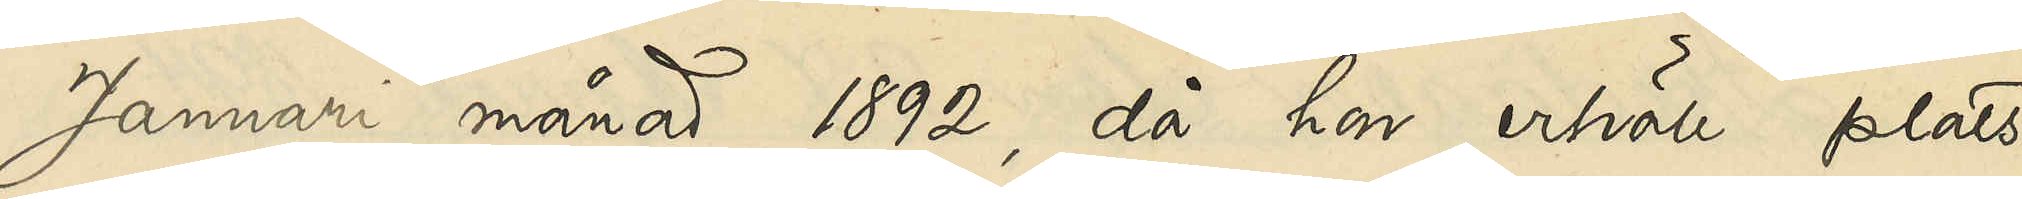Januari månad 1892, då hon erhöll plats
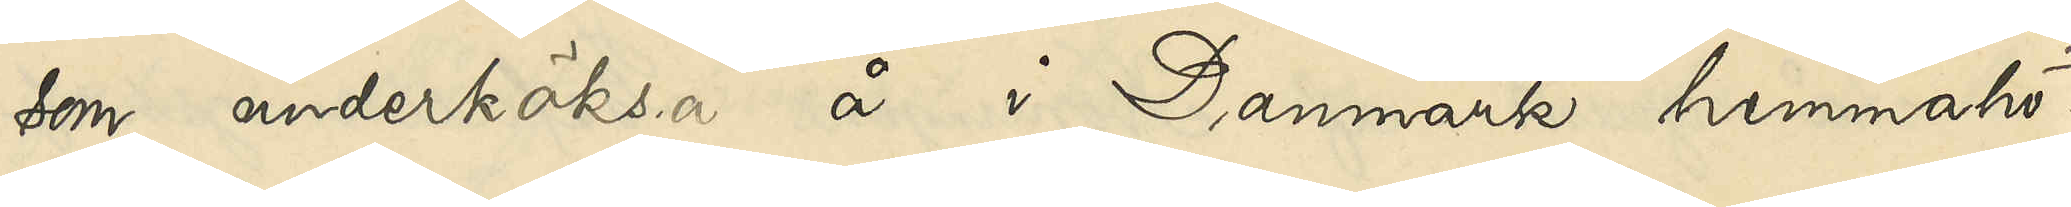som underköksa å i Danmark hemmahö¬
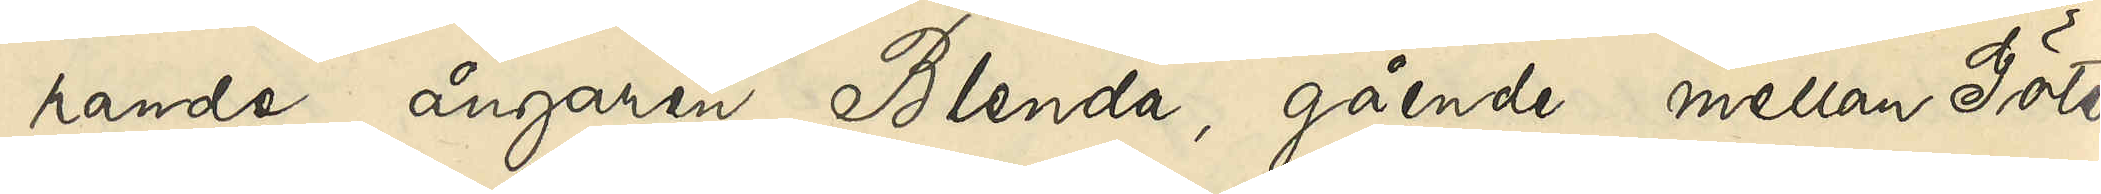rande ångaren Blenda, gående mellan Göte¬
